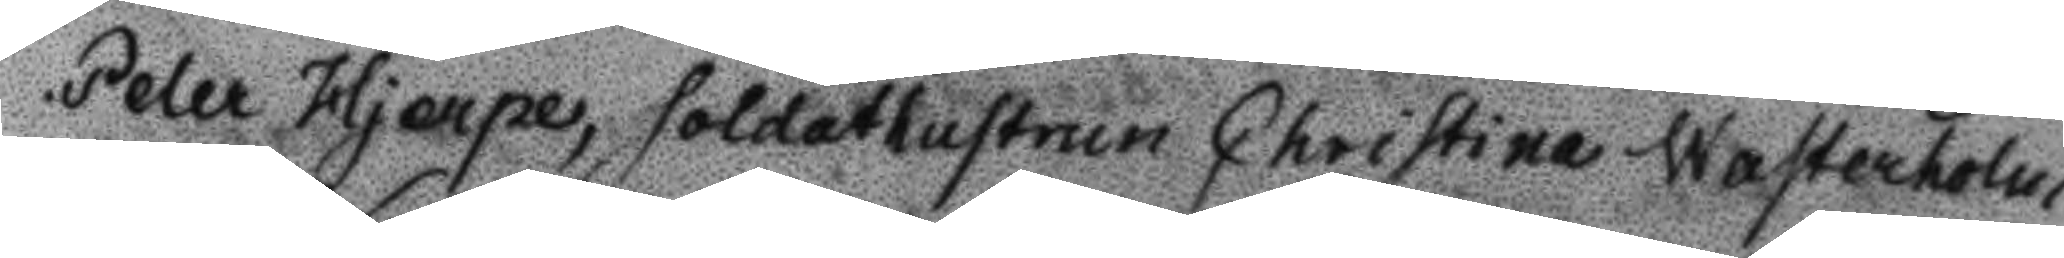Peter Hjerpe, soldathustrun Christina Westerholm,
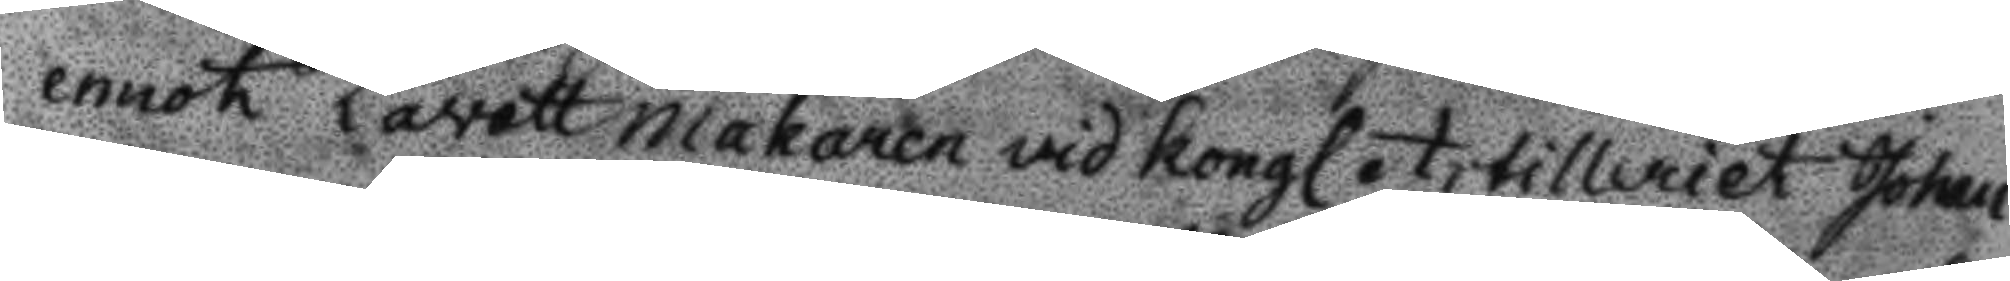emot Lavettmakaren vid Kongl. Artilleriet Johan
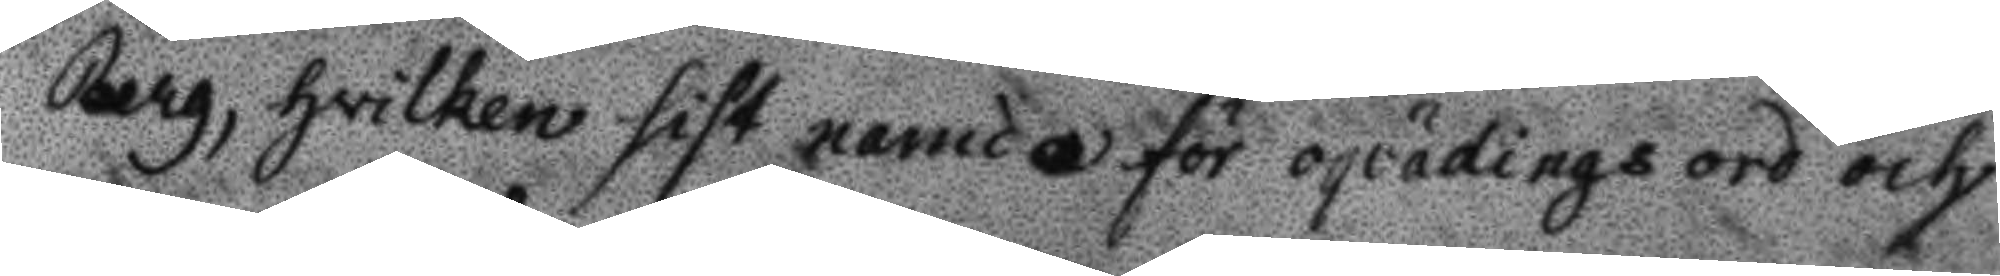Berg, hvilken sist namda för oqvädningsord och
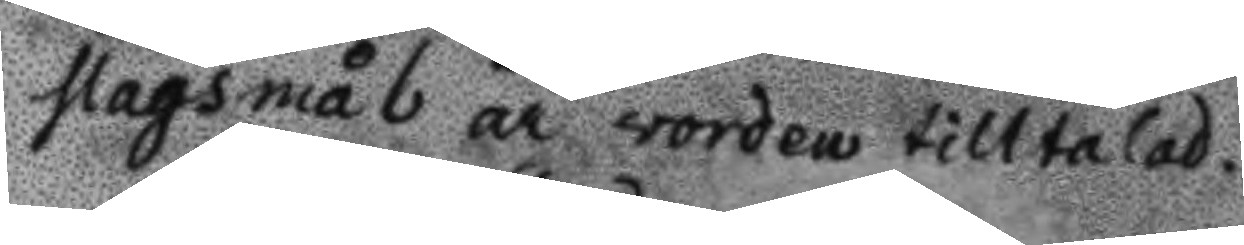slagsmål är worden tilltalad.
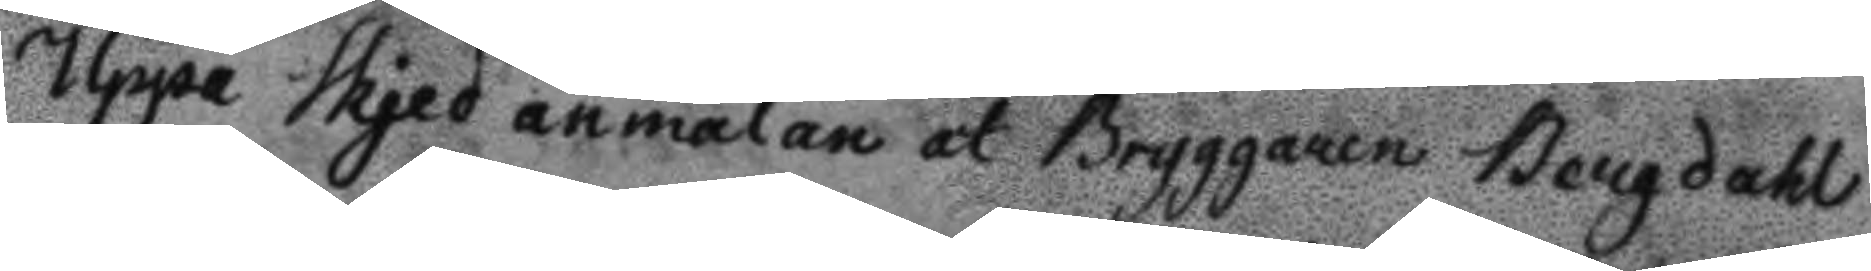Uppå skjed anmälan at Bryggaren Bergdahl
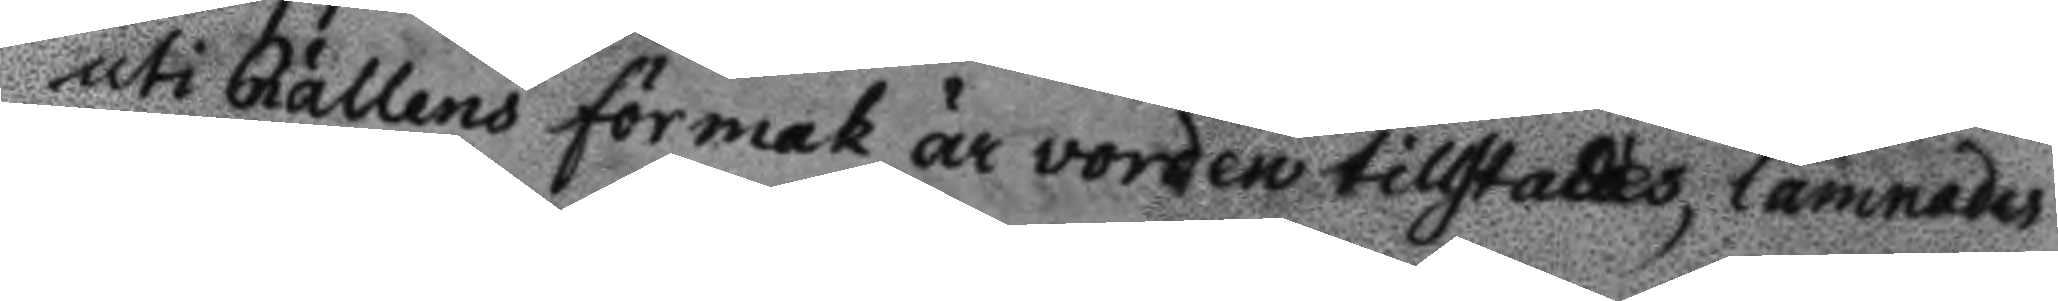uti Rättens förmak är vorden tillstädes, lämnades
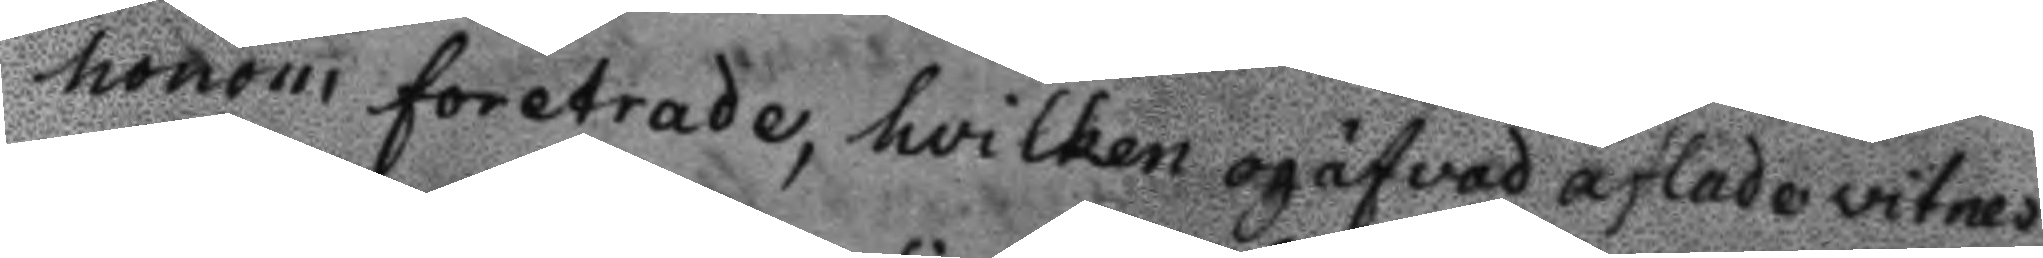honom foretrade, hvilken ogäfvad aflade vitnes
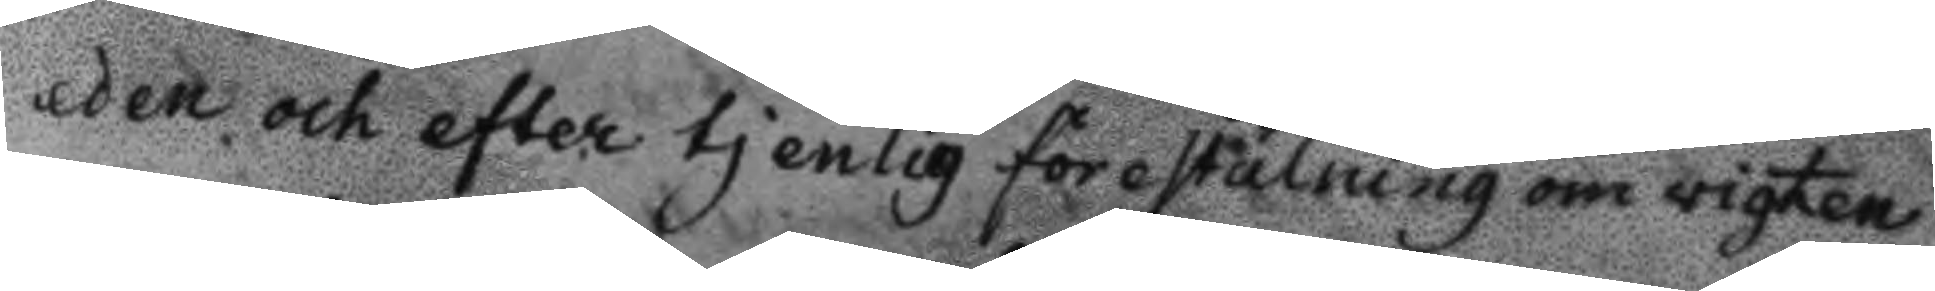eden och efter tjenlig förestälning om vigten
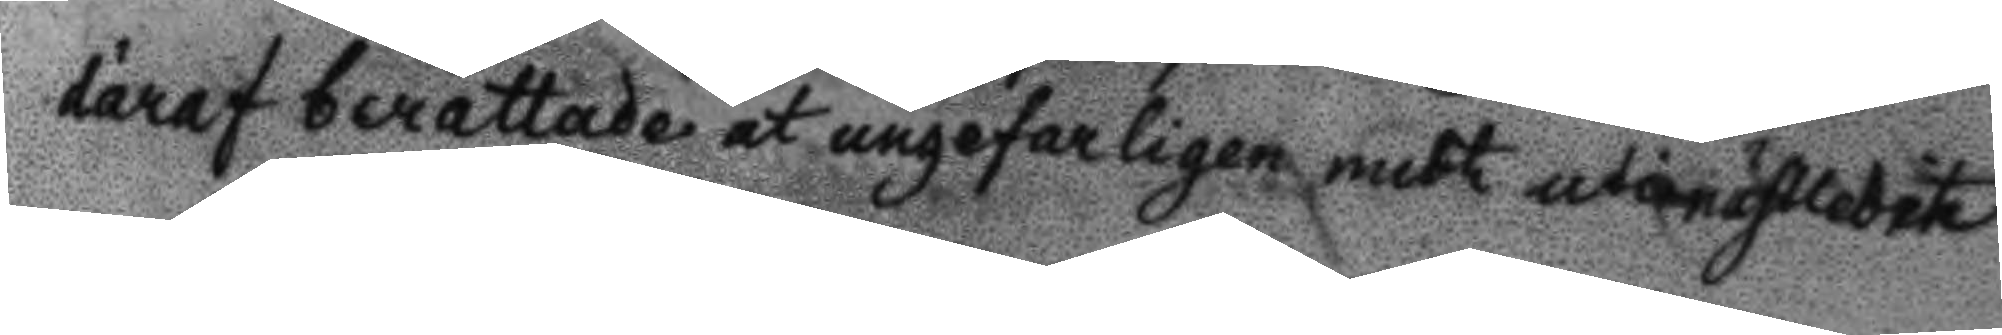däraf berättade at ungefarligen mith uti nästledit
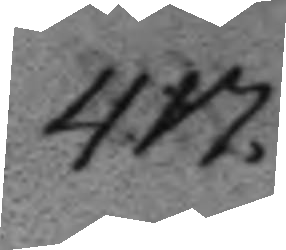417.
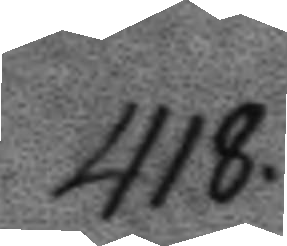418.
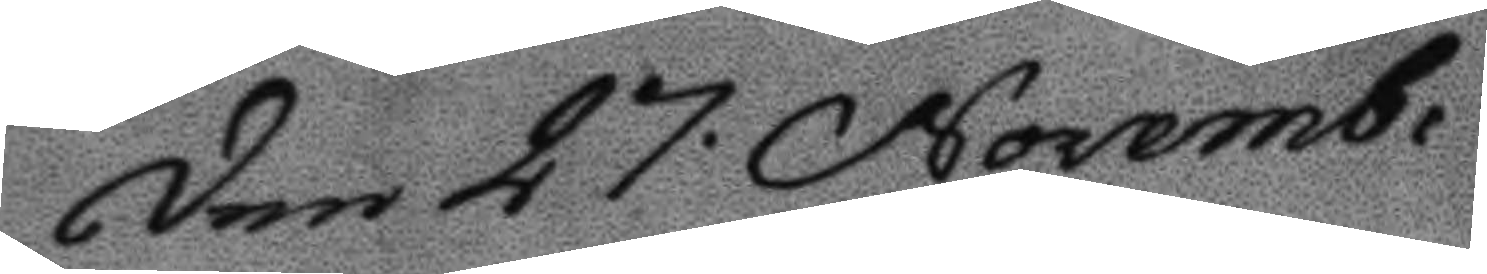Den 27. Novemb:
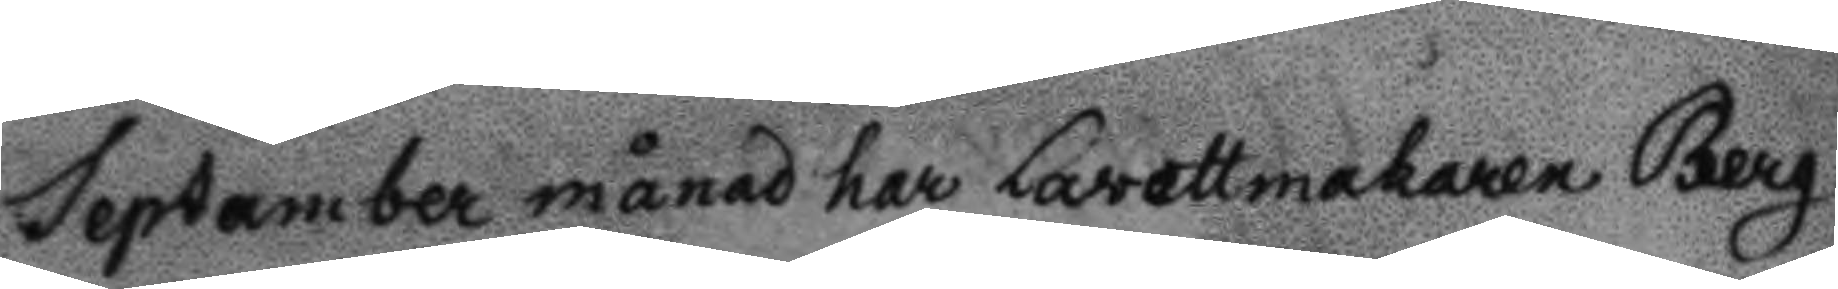September månad har Lavettmakaren Berg
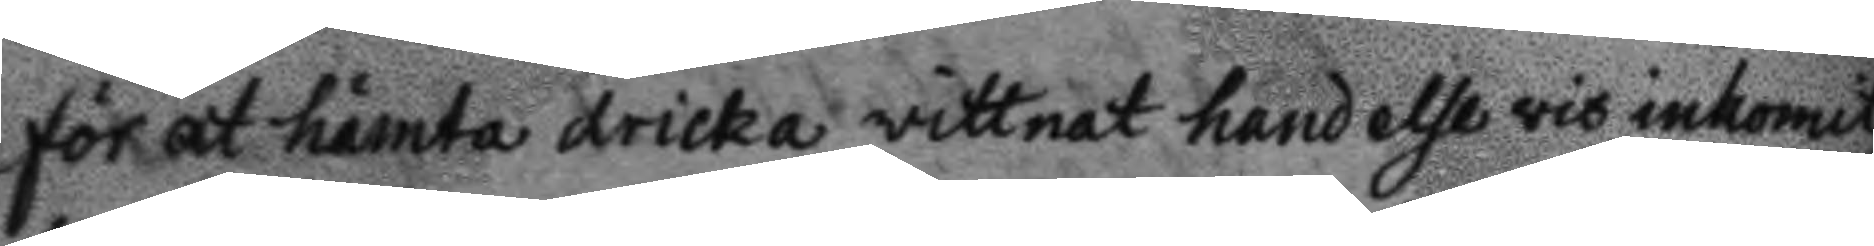för att hämta dricka vittnet handelsevis inkomit,
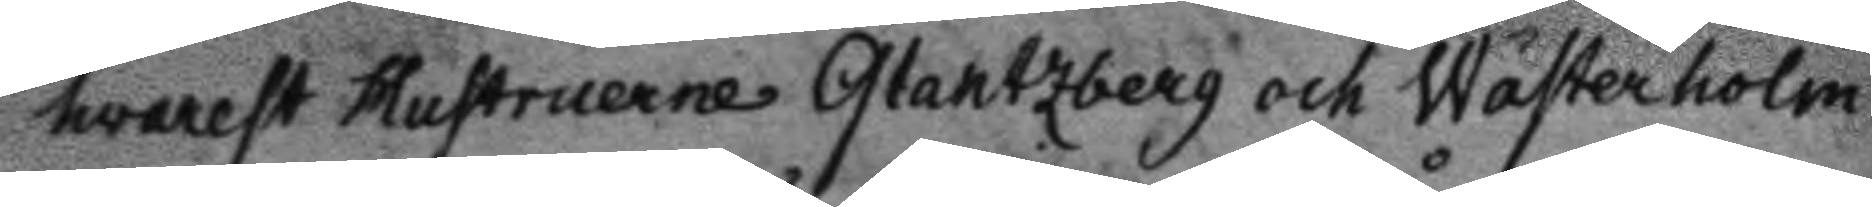hvarest Hustruerne Glantzberg och Wästerholm
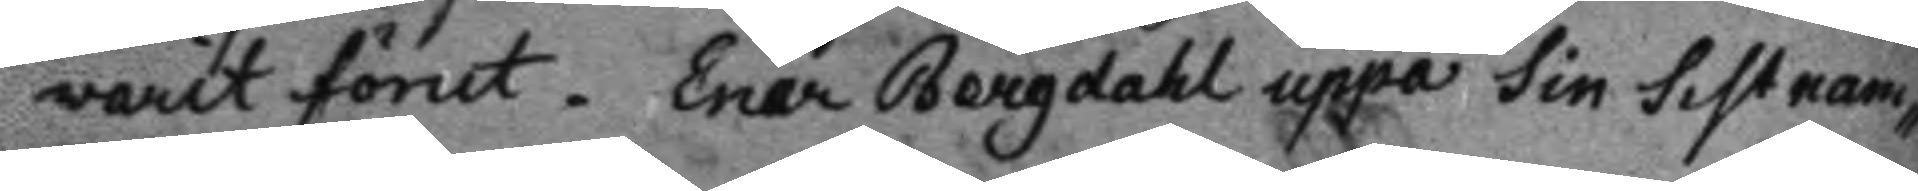varit förut. Enär Bergdahl uppå sin sistnam¬
